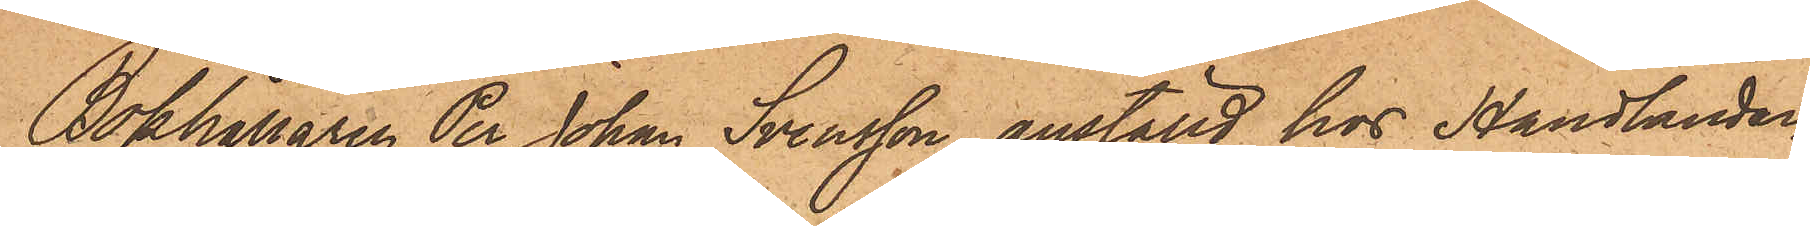Bokhållaren Per Johan Svensson anställd hos Handlanden
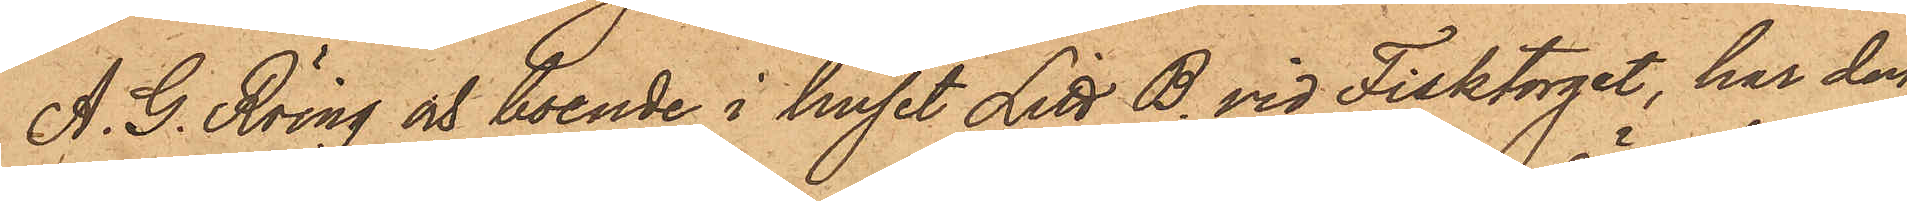A. G. Röing och boende i huset Litt. B. vid Fisktorget, har den
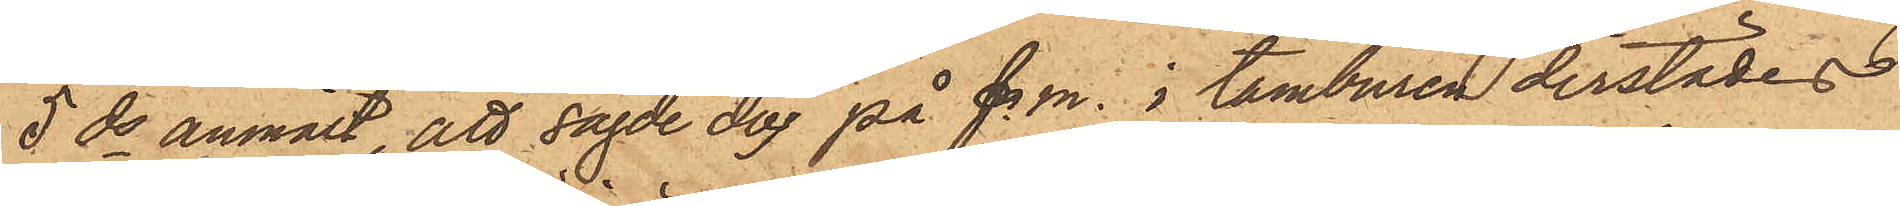5ds anmält, att sagde dag på f. m. i tamburen derstädes
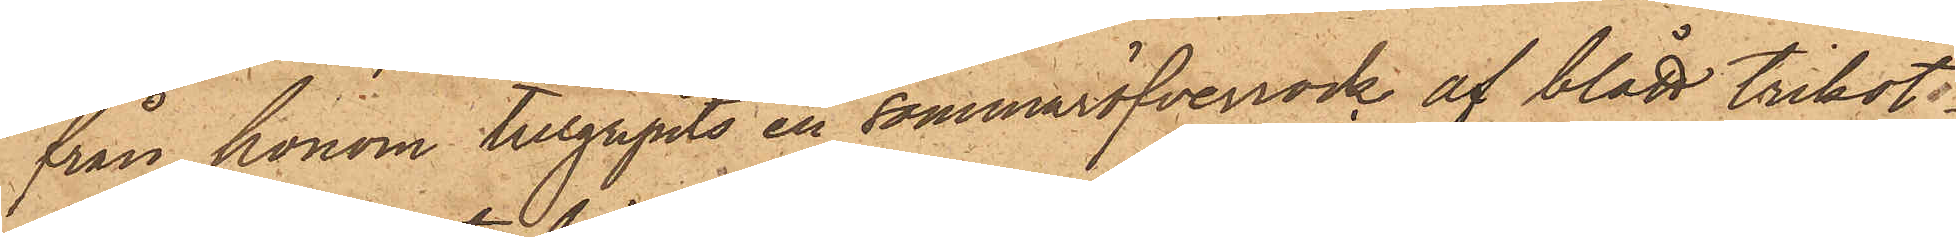från honom tillgripits en sommaröfverrock af blått trikot
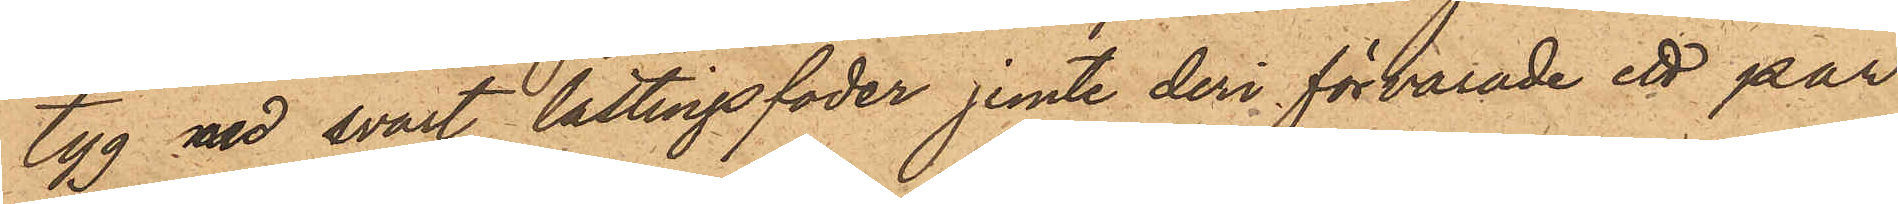tyg med svart lattingsfoder jemte deri förvarade ett par
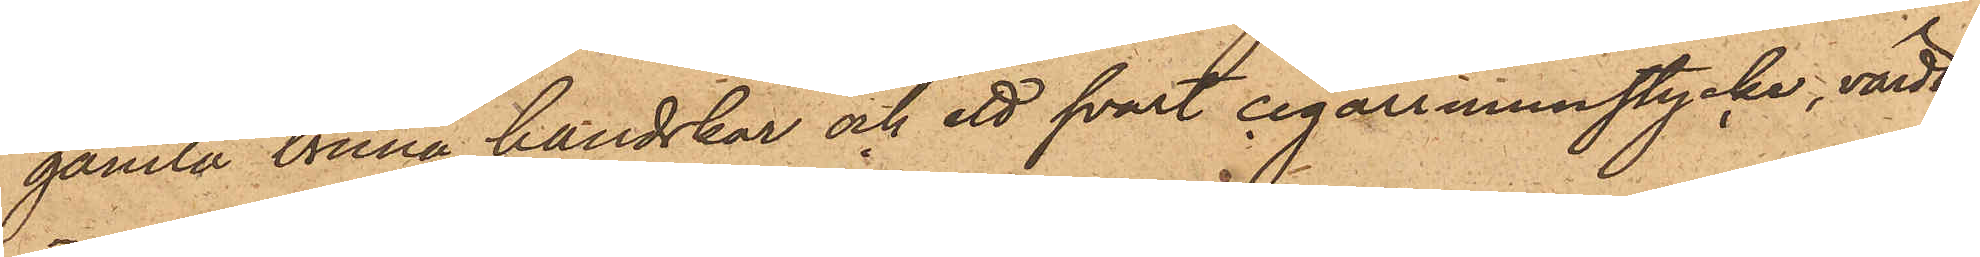gamla bruna handskar och ett svart cigarrmunstycke, värdt
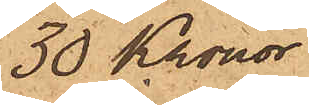30 Kronor.
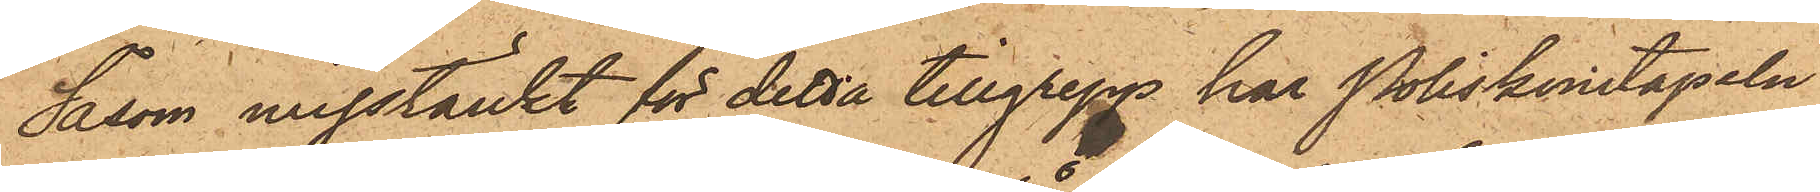Såsom misstänkt för detta tillgrepp har Poliskonstapeln
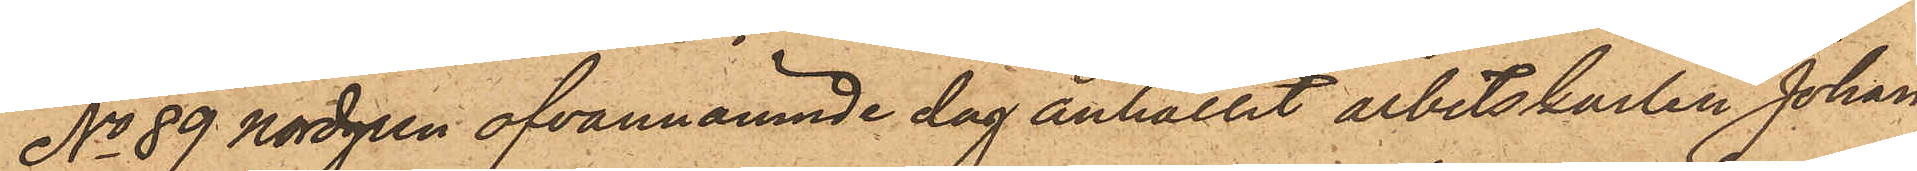No 89 Nordgren ofvannämnde dag anhållit arbetskarlen Johan
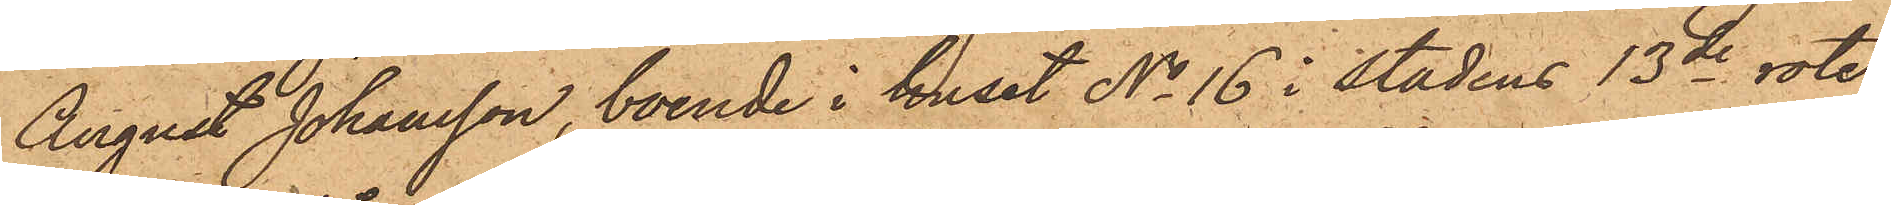August Johansson, boende i huset No 16 i stadens 13de rote,
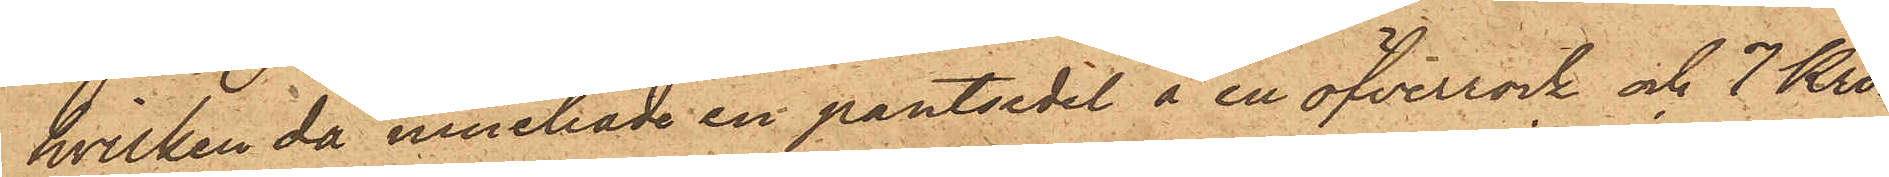hvilken då innehade en pantsedel å en öfverrock och 7 Kro¬
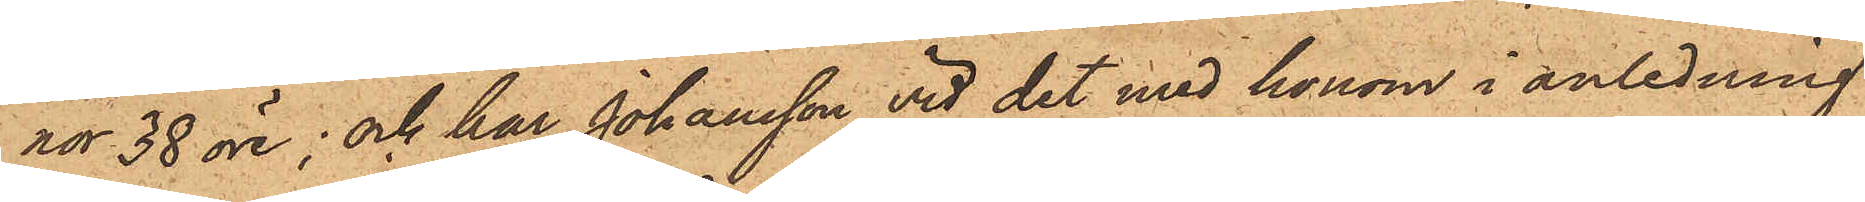nor 38 öre; och har Johansson vid det med honom i anledning
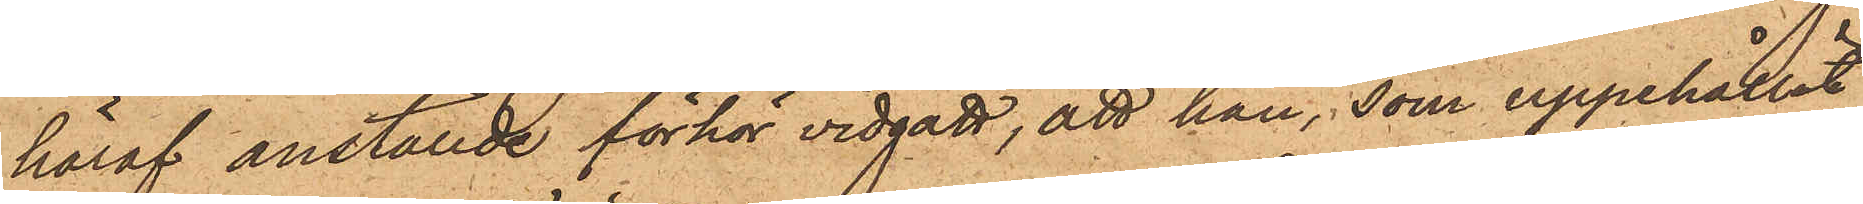häraf anställde förhör vidgått, att han, som uppehållit
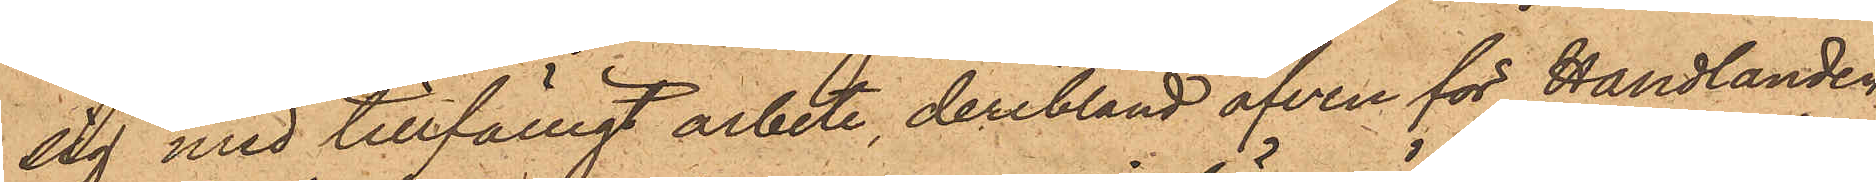sig med tillfälligt arbete, deribland äfven för Handlanden
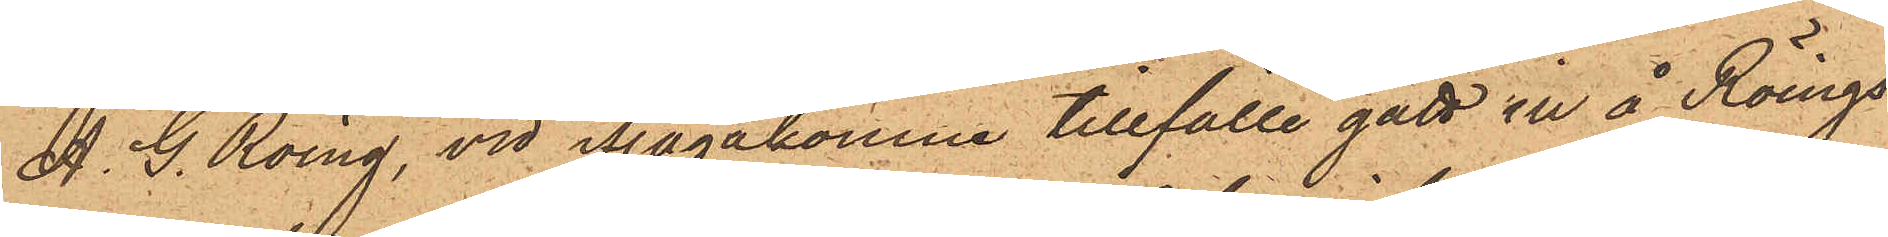A. G. Röing, vid ifrågakomne tillfälle gått in å Röings
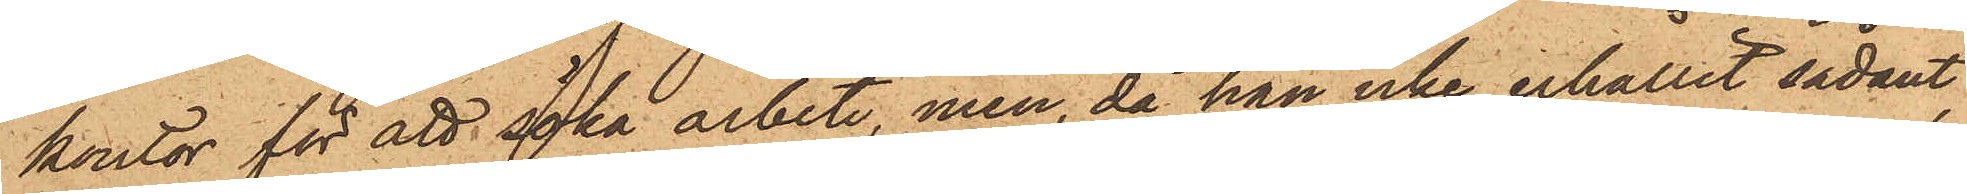kontor för att söka arbete, men, då han icke erhållit sådant,
